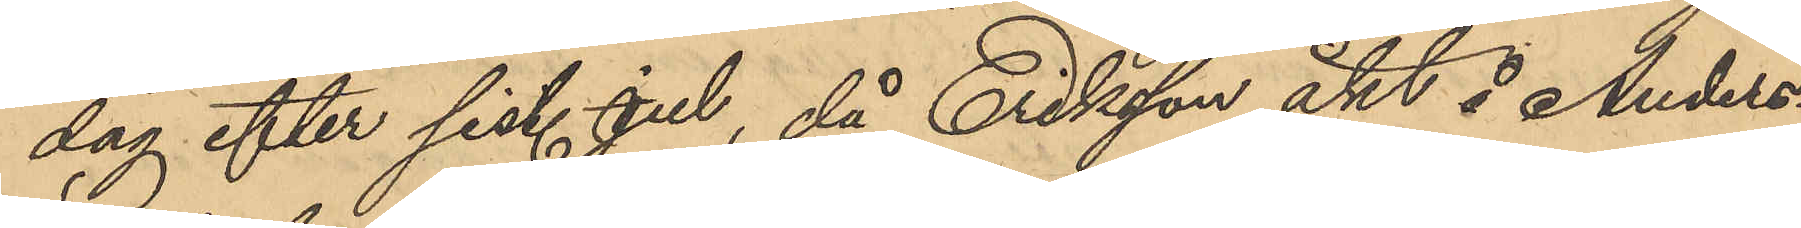dag efter sist. jul, då Eriksson åkt å Anders¬
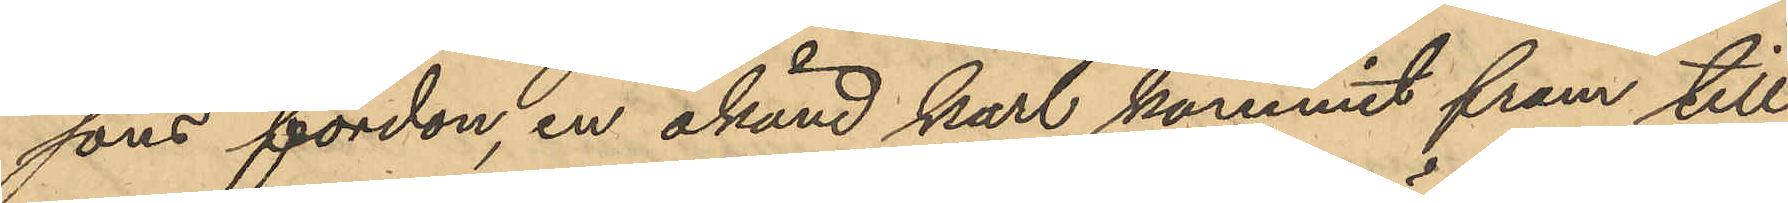sons fordon, en okänd karl kommit fram till
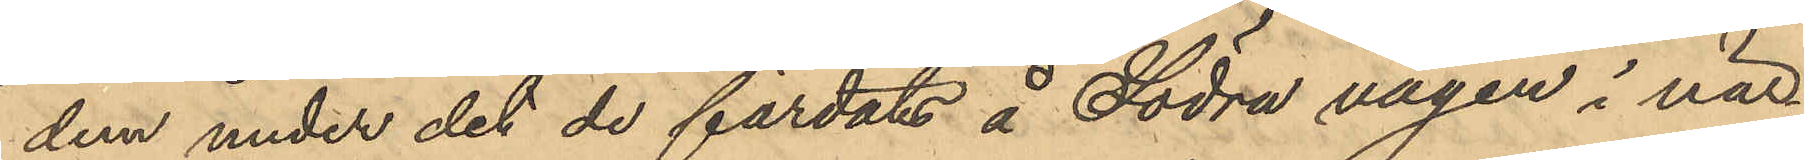dem under det de färdats å Södra vägen i när¬
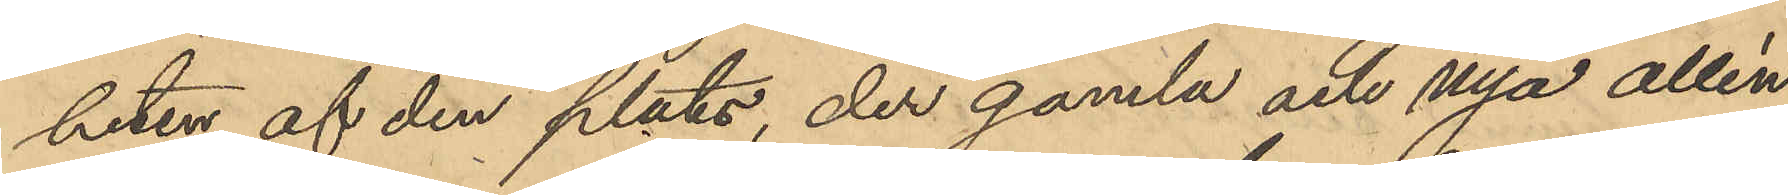heten af den plats, der gamla och nya Allén
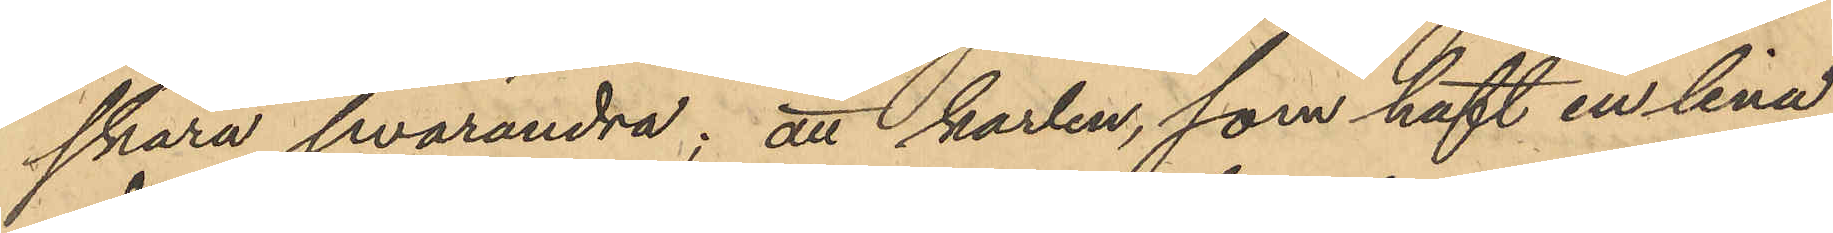skära hvarandra; att karlen, som haft en lina
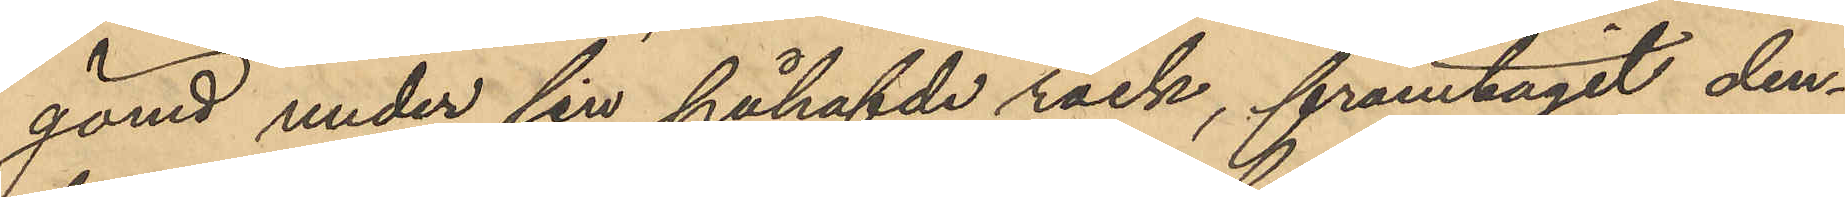gömd under sin påhafvde rock, framtagit den¬
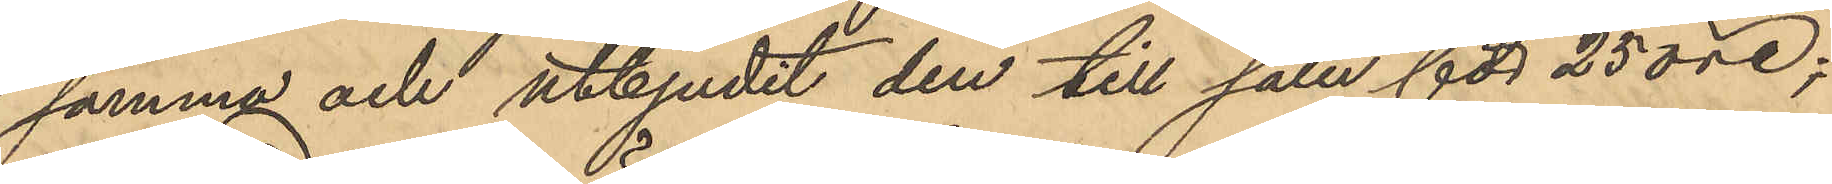samma och utbjudit den till salu för 25 öre;
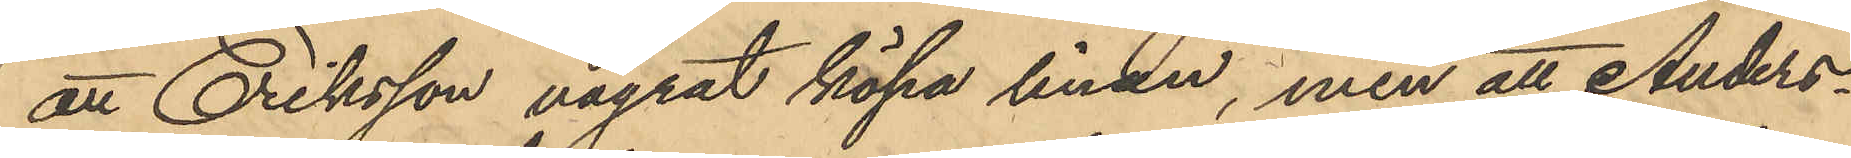att Eriksson vägrat köpa linan, men att Anders¬
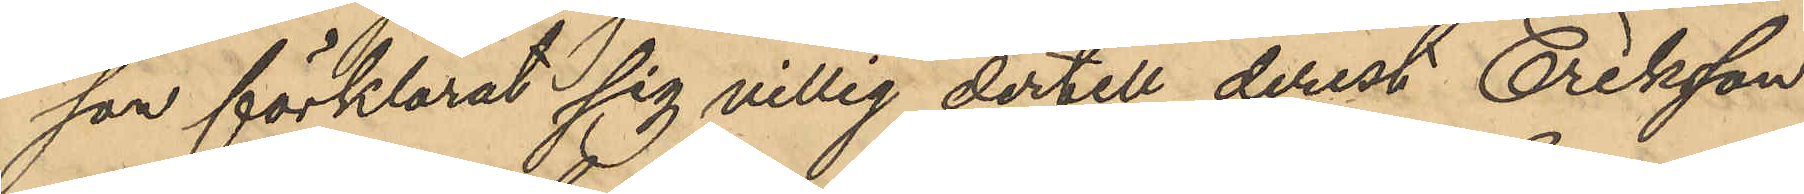son förklarat sig villig dertill derest Eriksson
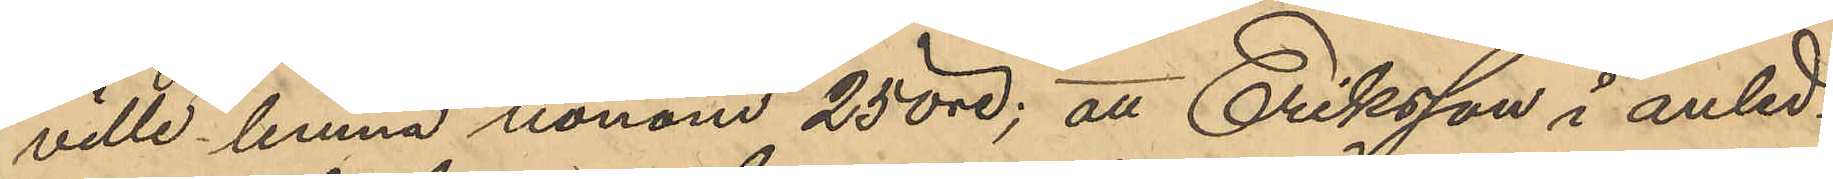ville lemna honom 25 öre; att Eriksson i anled¬
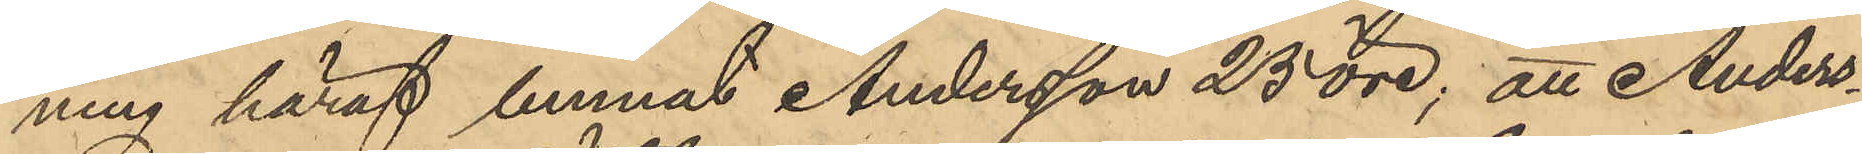ning häraf lemnat Andersson 25 öre; att Anders¬
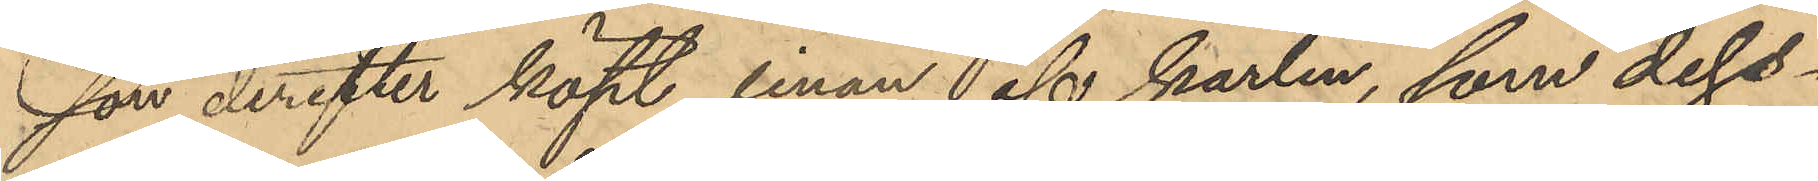son derefter köpt linan af karlen, som dess¬
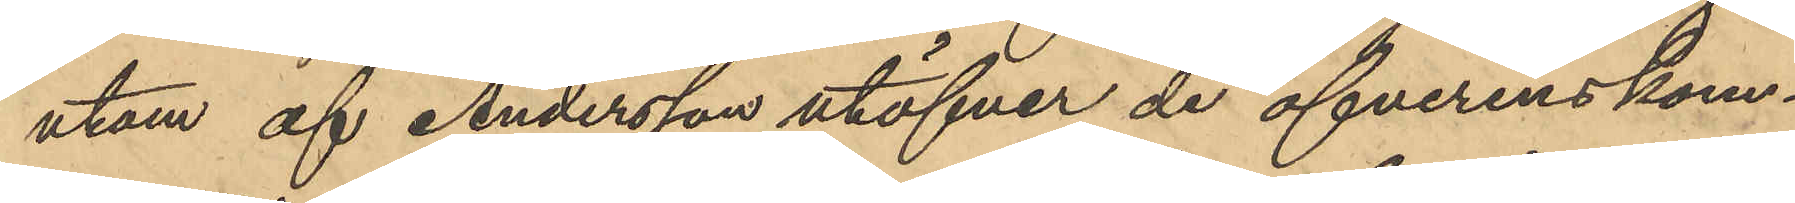utom af Andersson utöfver de öfverenskom¬
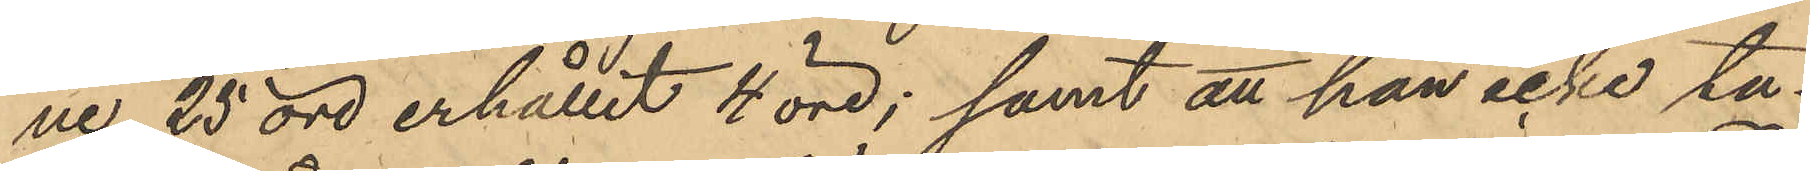ne 25 öre erhållit 4 öre; samt att han icke ta¬
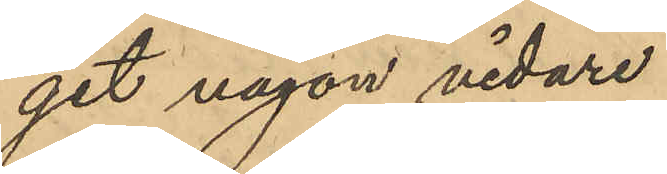git någon vidare
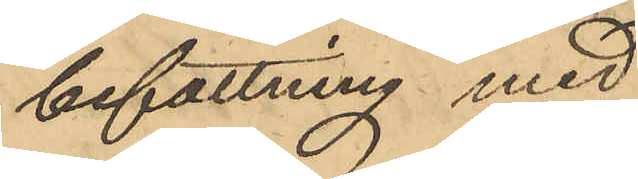befattning med
